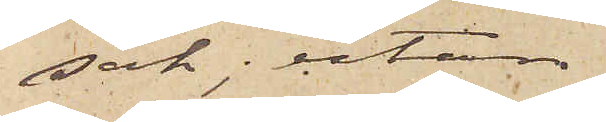sak, utan
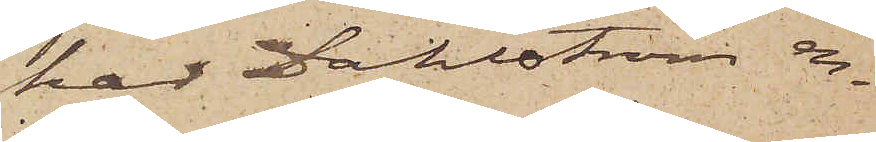har Dahlström en¬
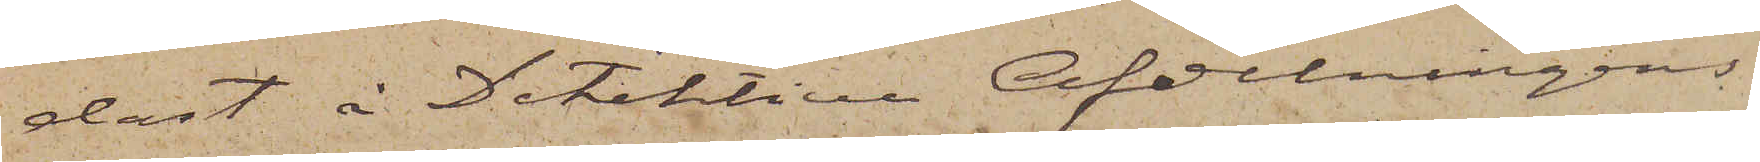dast å Detektiva afdelningens
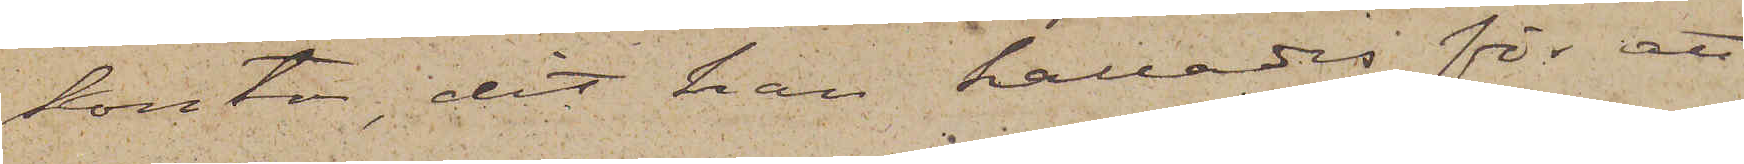kontor, dit han kallades för att
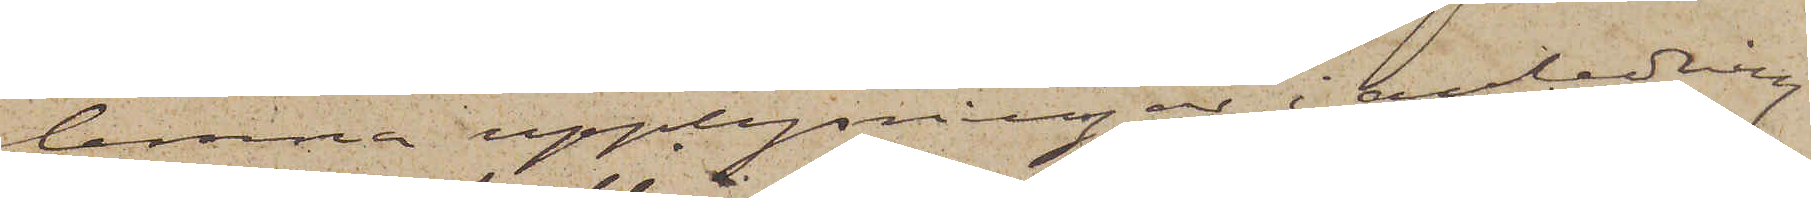lemna upplysningar i anledning
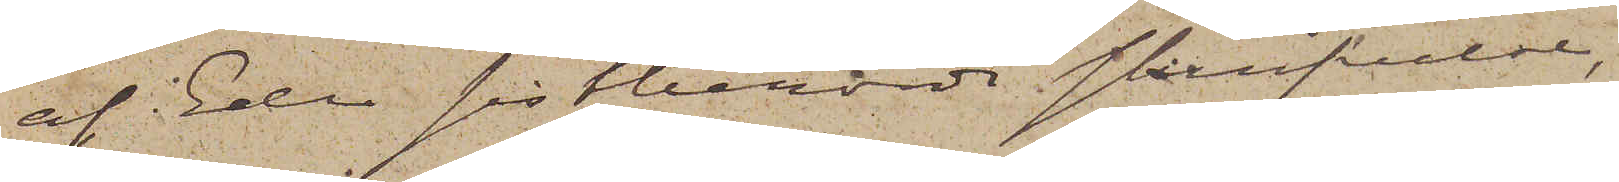af Eder sistberörde skrifvelse,
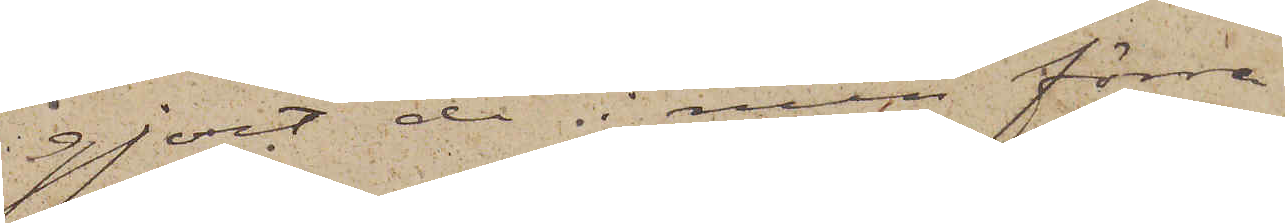gjort de i min förre
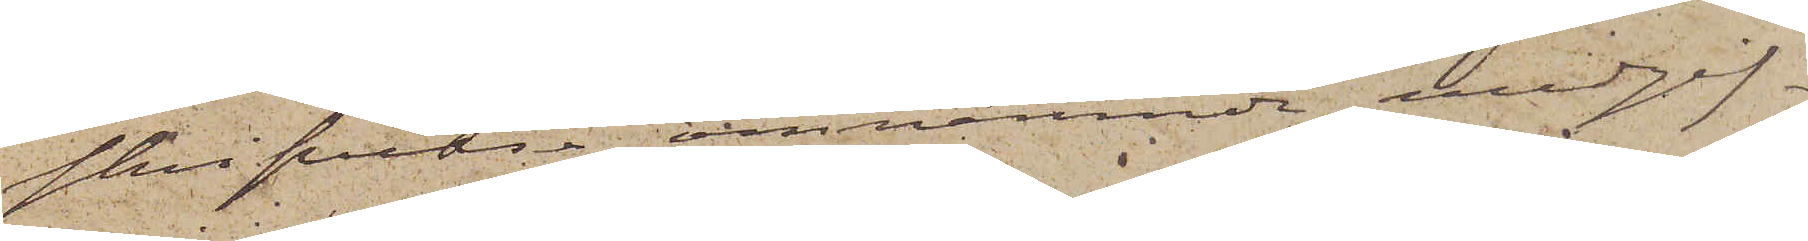skrifvelse omnämnde medgif¬
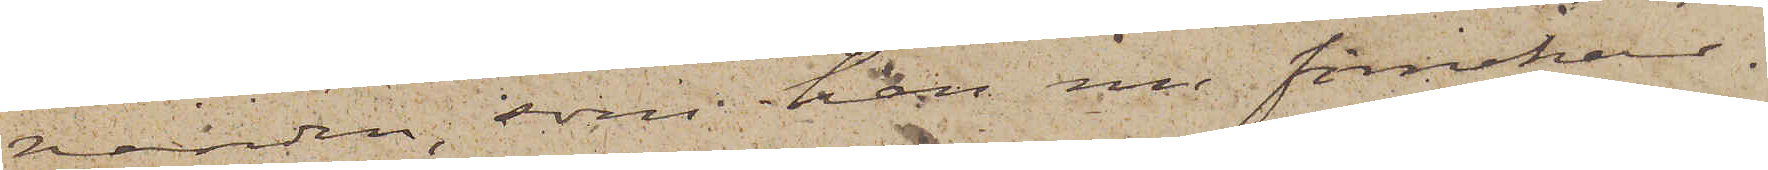vanden, som han nu förnekar.
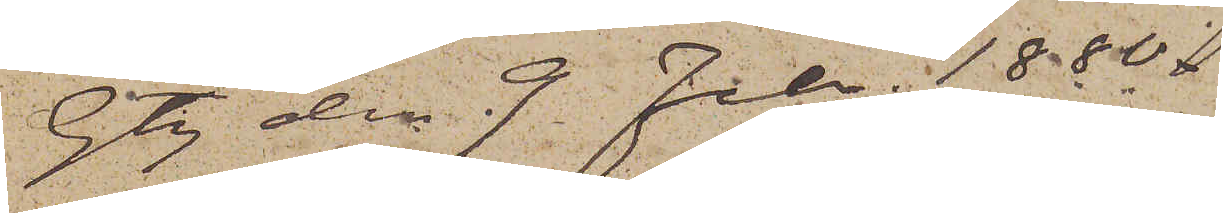Gtg den 9 Febr. 1880.
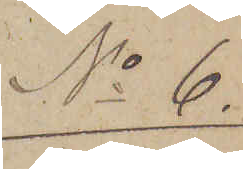No 6.
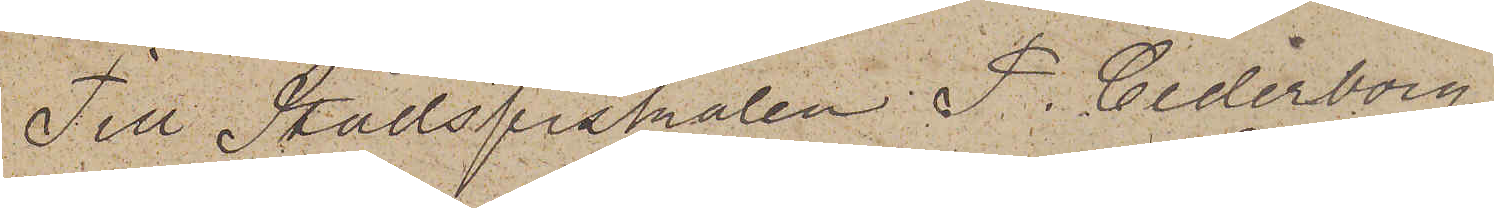Till Stadsfiskalen P. Cederborg
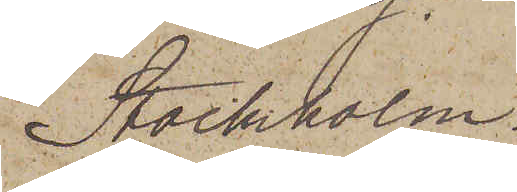Stockholm.
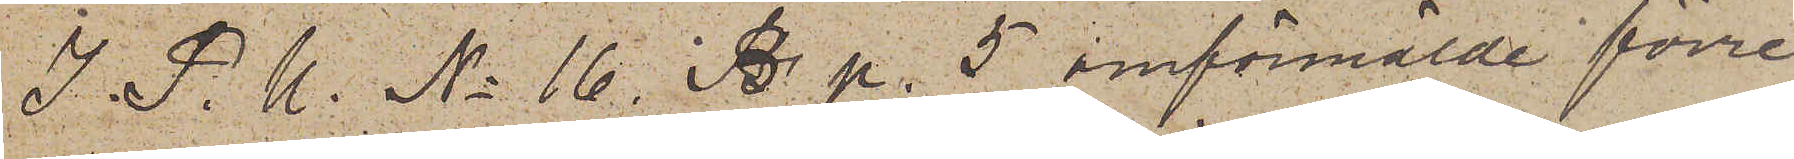I. P. U. No 16. B. p. 5 omförmälde förre
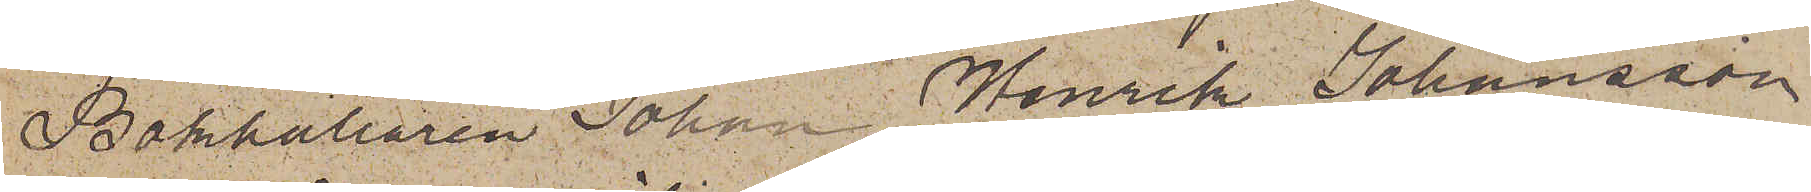Bokhållaren Johan Henrik Johansson
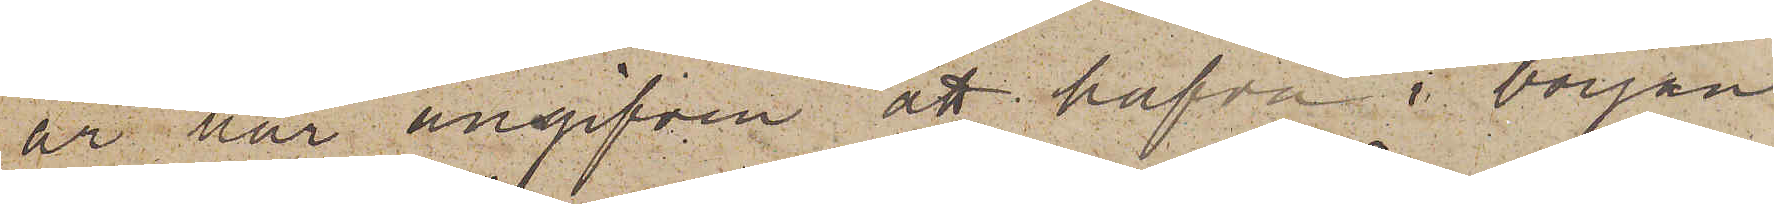är här angifven att hafva i början
